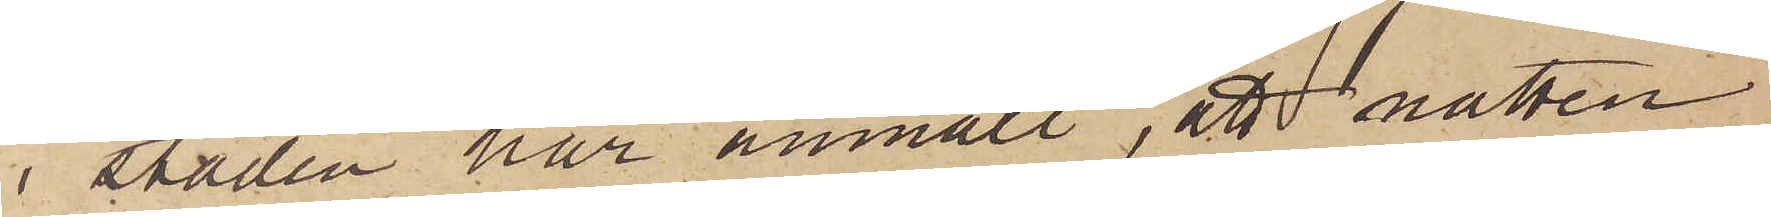i staden har anmält, att natten
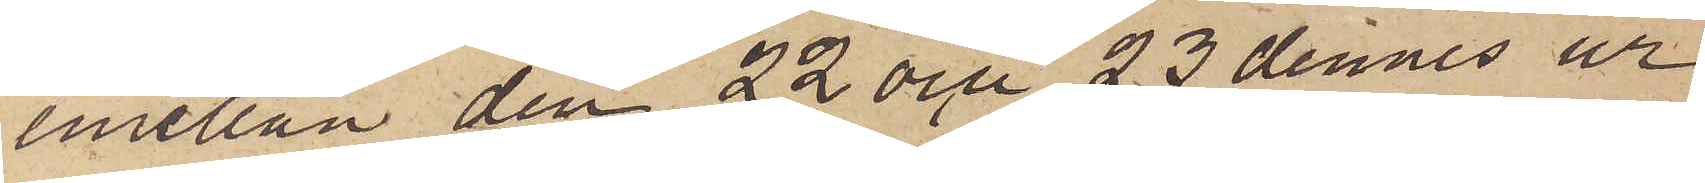emellan den 22 och 23 dennes ur
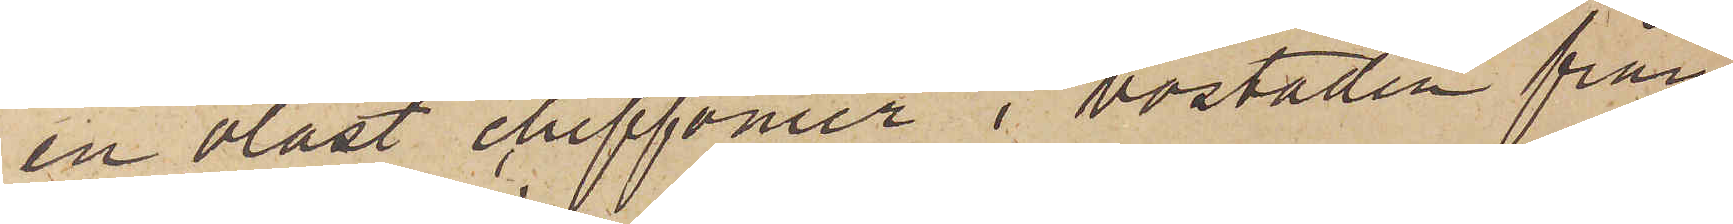en olåst chiffonier i bostaden från
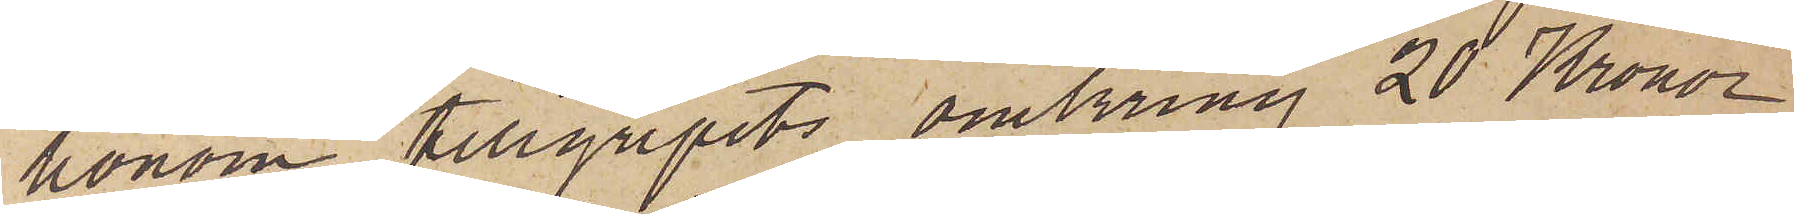honom tillgripits omkring 20 Kronor
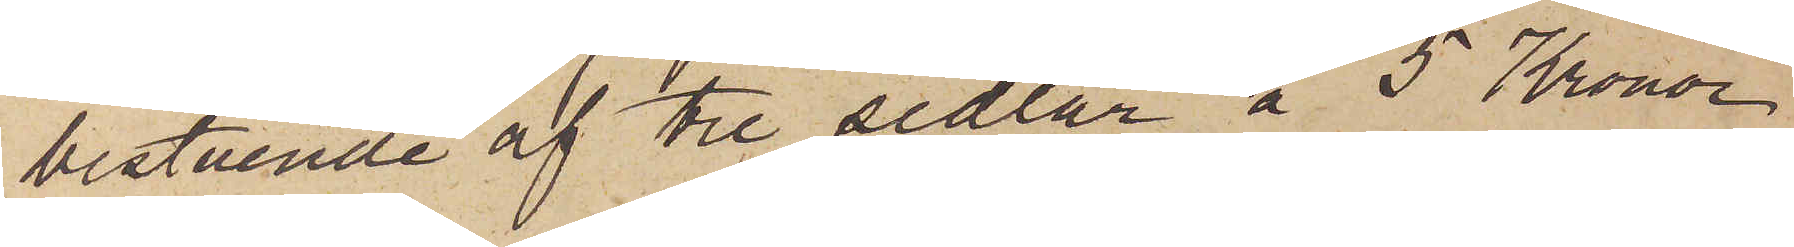bestående af tre sedlar å 5 Kronor
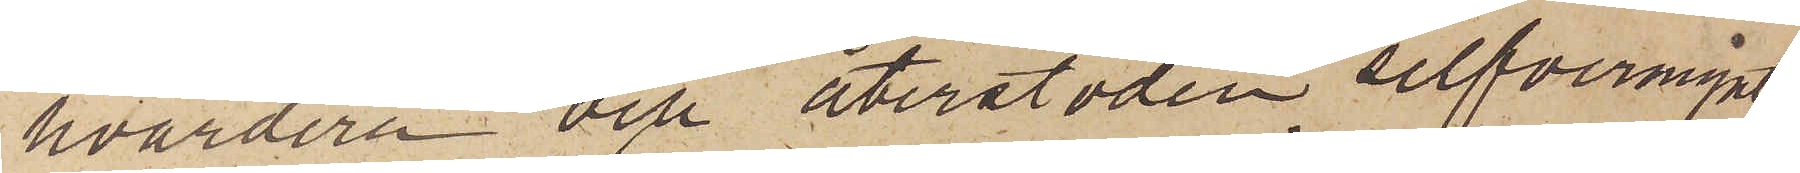hvardera och återstoden silfvermynt,
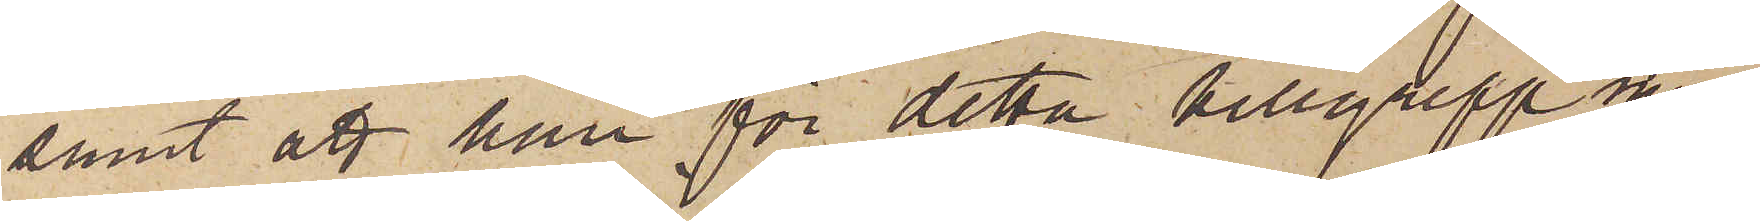samt att han för detta tillgrepp miss¬
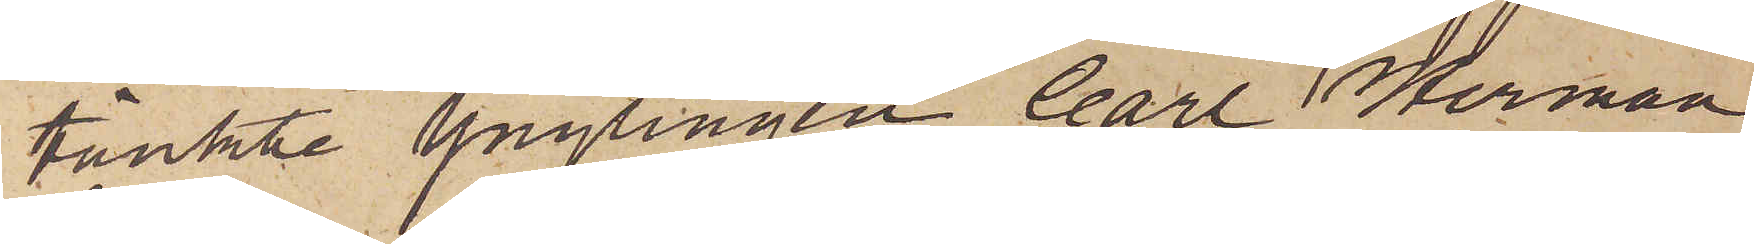tänkte ynglingen Carl Herman
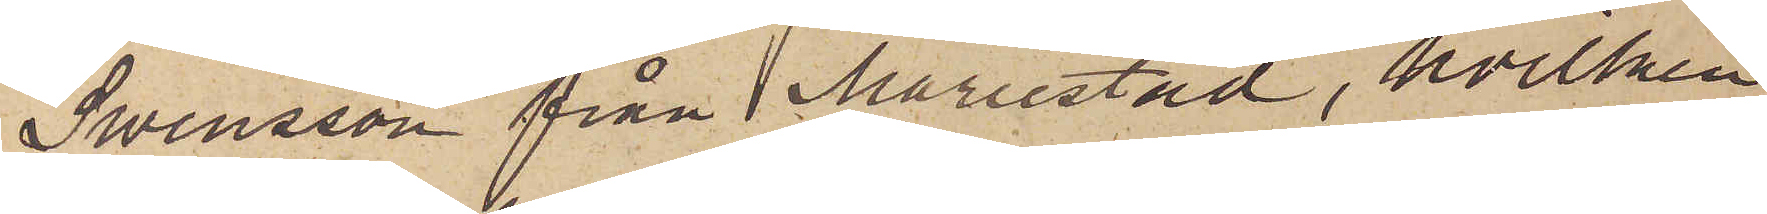Swensson från Mariestad, hvilken
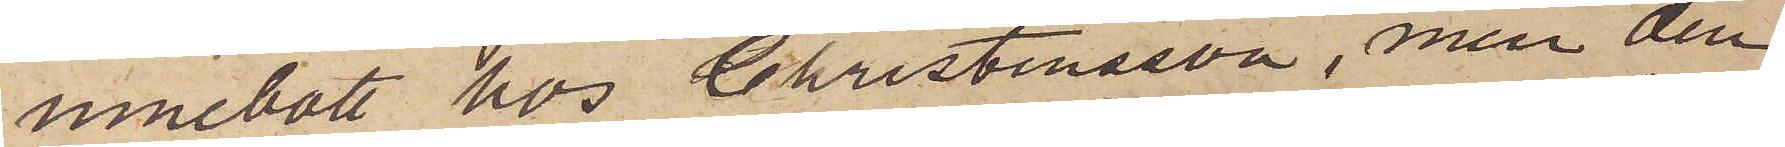innebott hos Christensson, men den
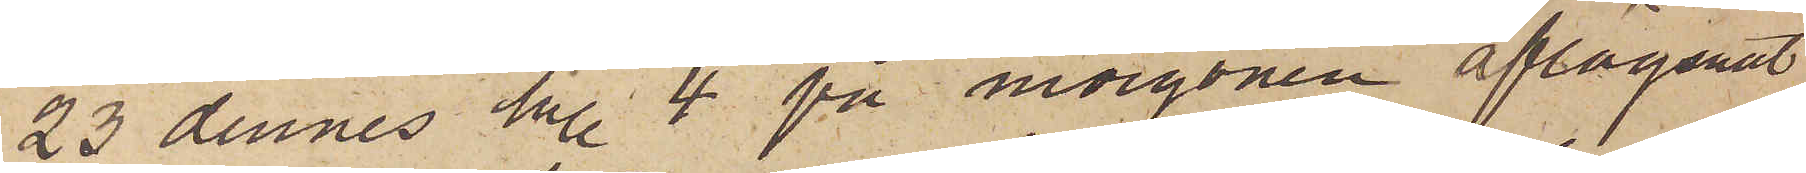23 dennes kl. 4 på morgonen aflägsnat
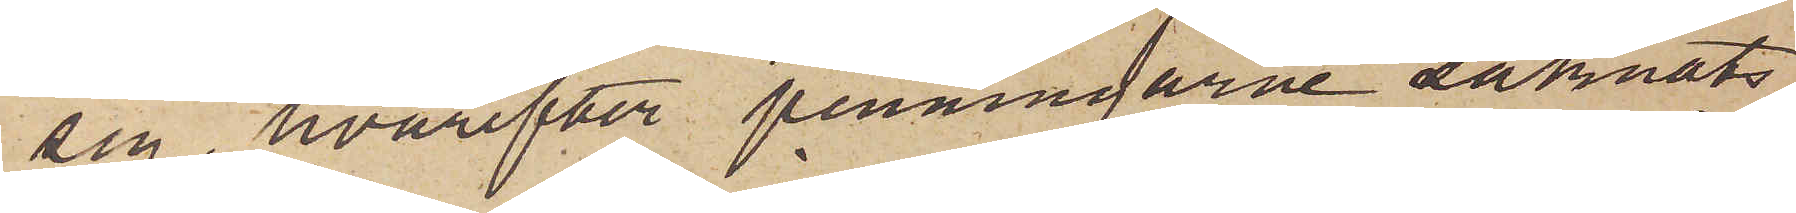sig, hvarefter penningarne saknats.
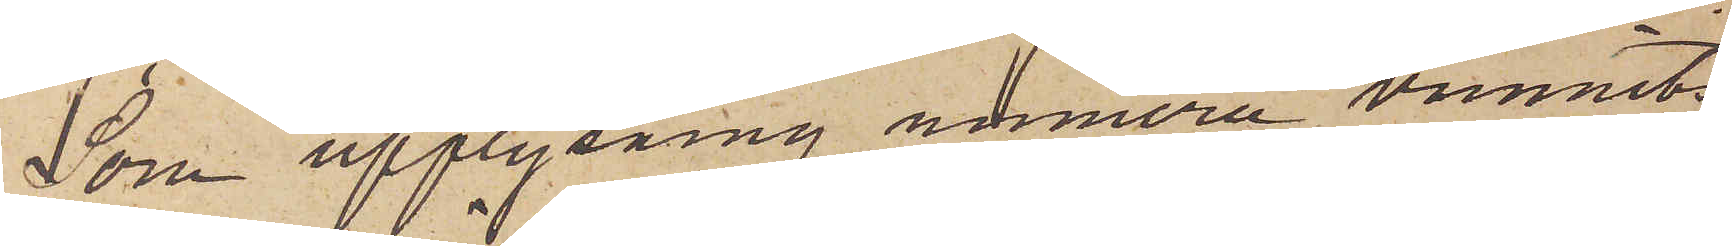Som upplysning nurmera vunnits
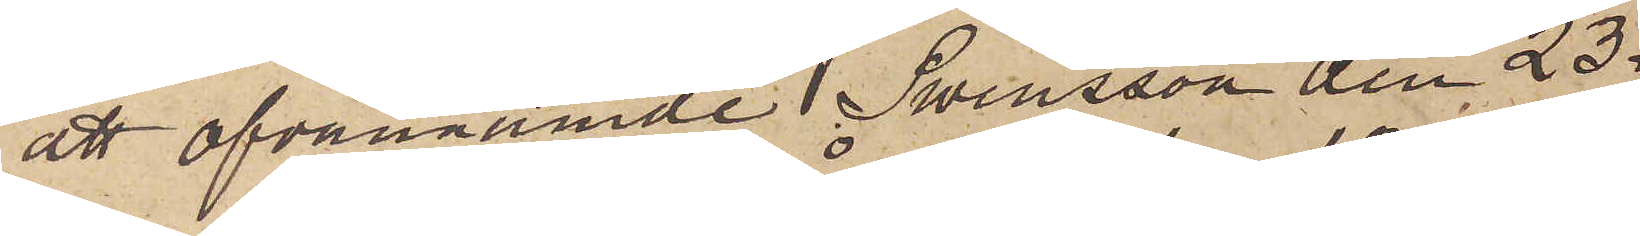att ofvannämde Swensson den 23
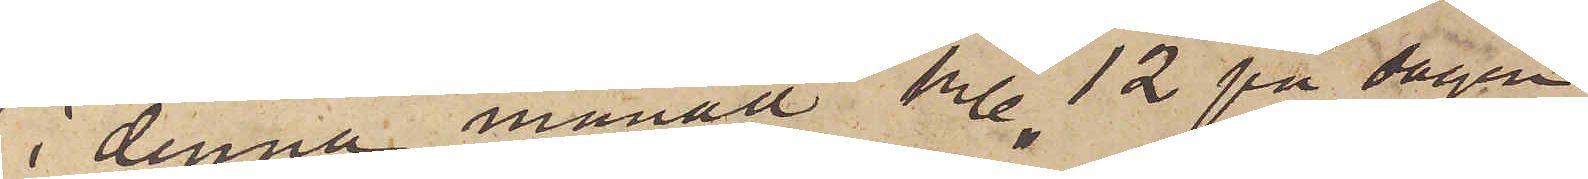i denna månad kl. 12 på dagen
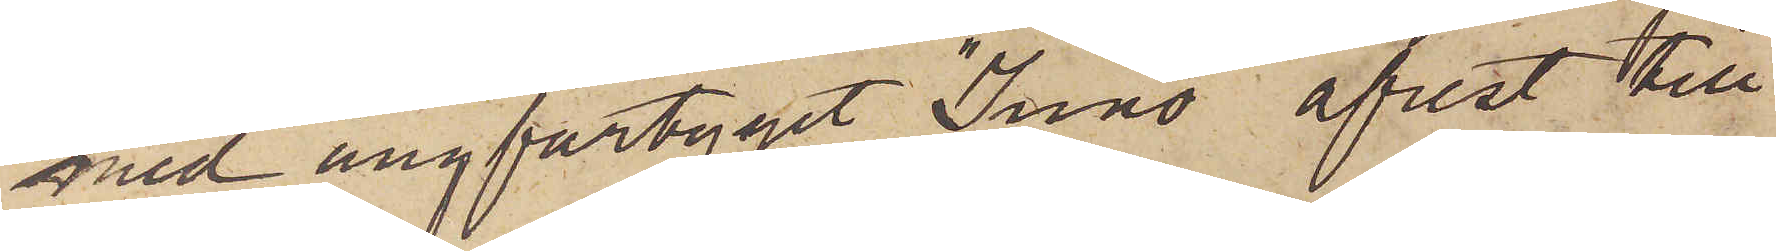med ångfartyget "Juno" afrest till
